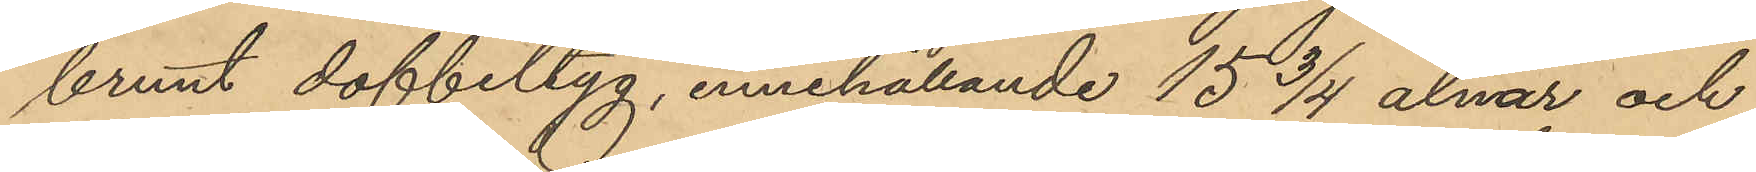brunt doffeltyg, innehållande 15 3/4 alnar och
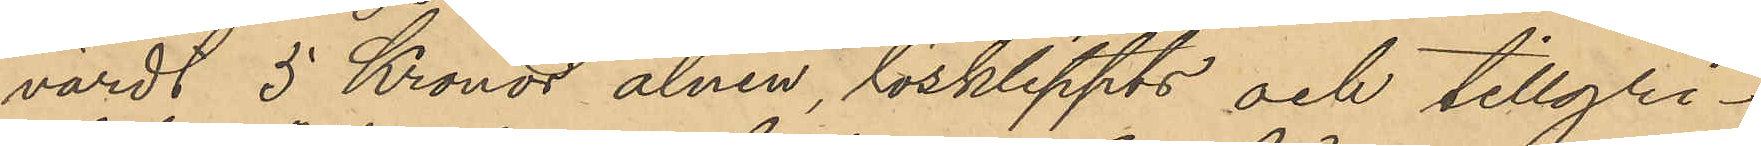värdt 5 Kronor alnen, lösklippts och tillgri¬
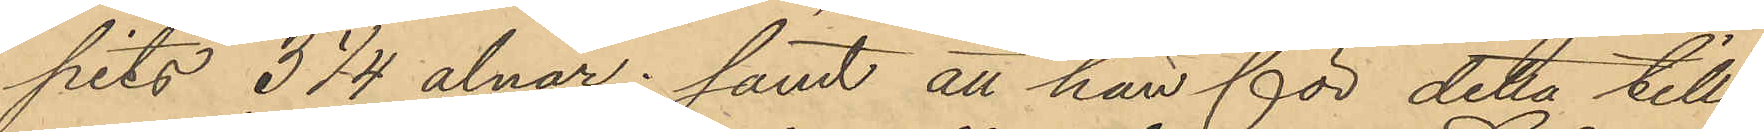pits 3 1/4 alnar; samt att han för detta till
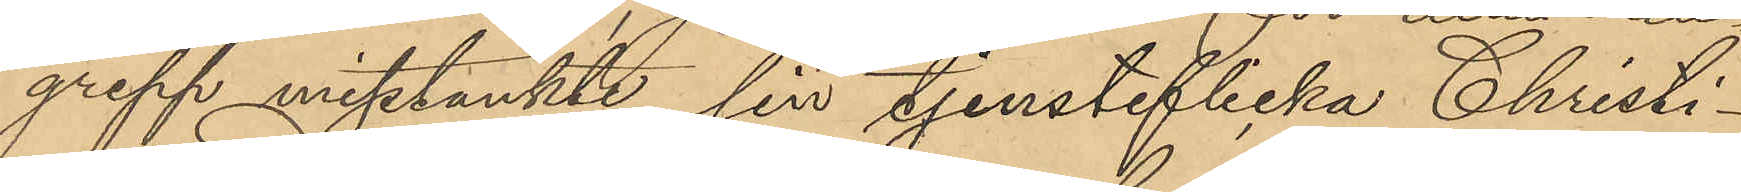grepp misstänkte sin tjensteflicka Christi¬
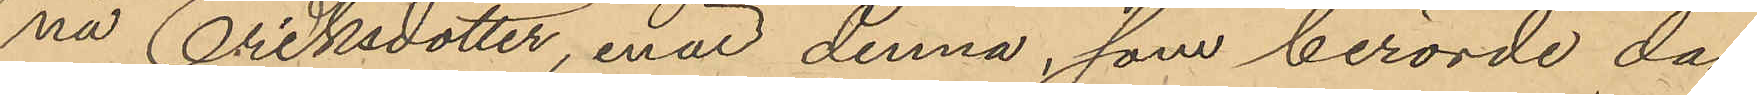na Eriksdotter, enär denna som berörde dag
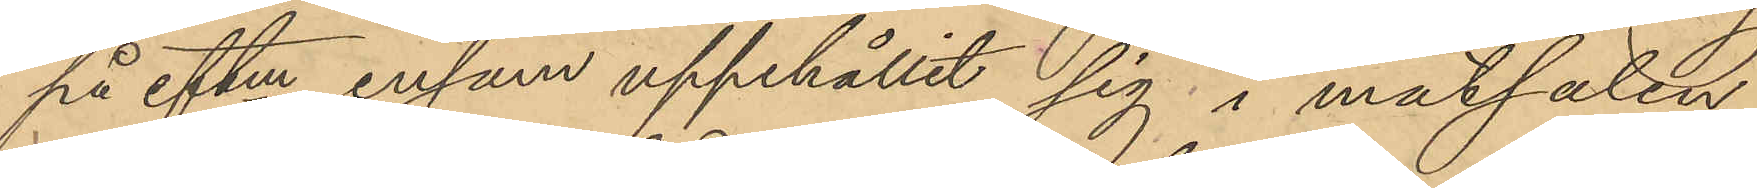på eftm ensam uppehållit sig i matsalen
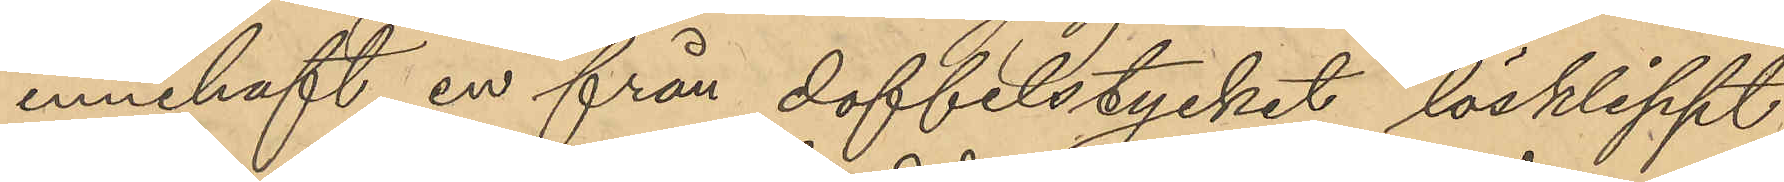innehaft en från doffelstycket lösklippt
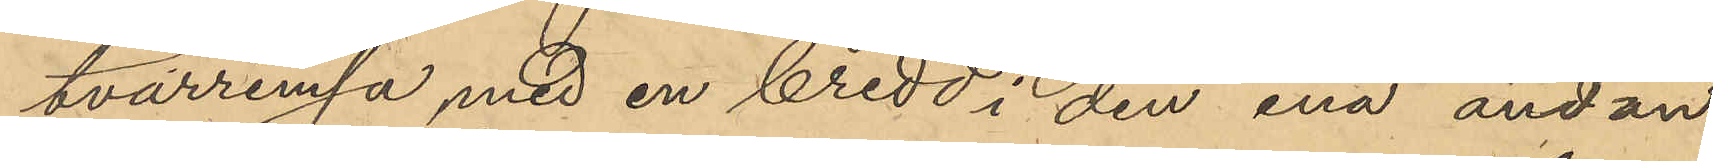tvärremsa med en bredd i den ena ändan
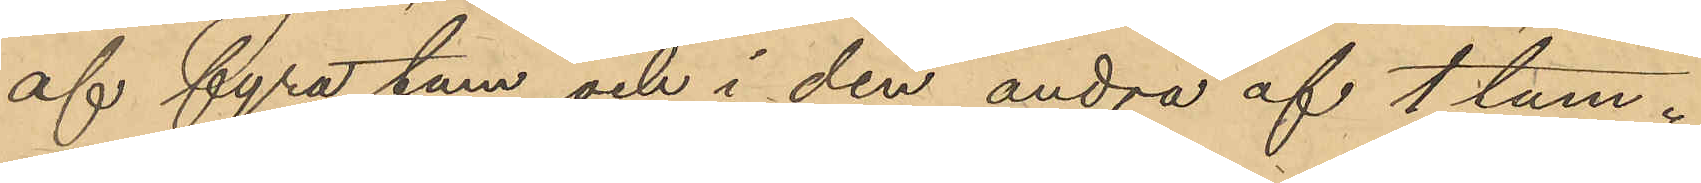af fyra tum och i den andra af 1 tum.
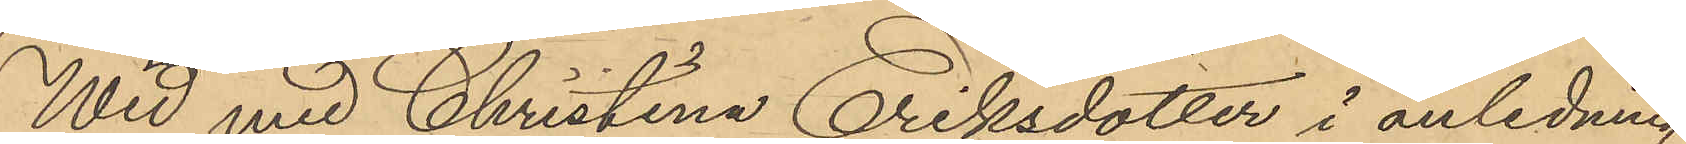Wid med Christina Eriksdotter i anledning
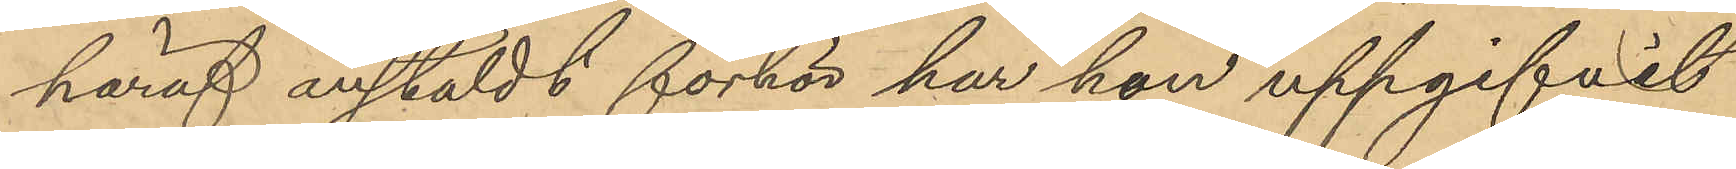häraf anstäldt förhör har hon uppgifvit
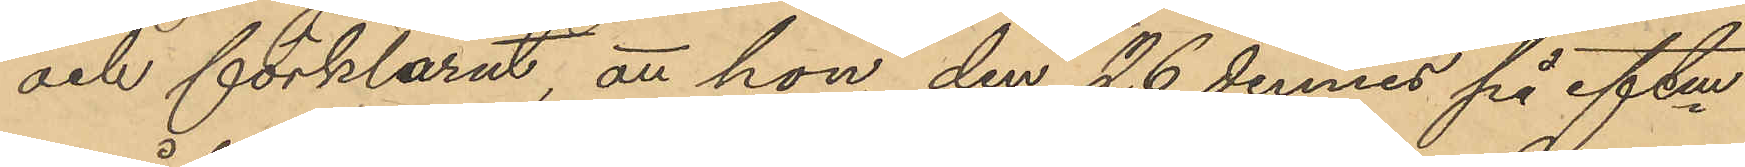och förklarat, att hon, den 26 dennes på eftm
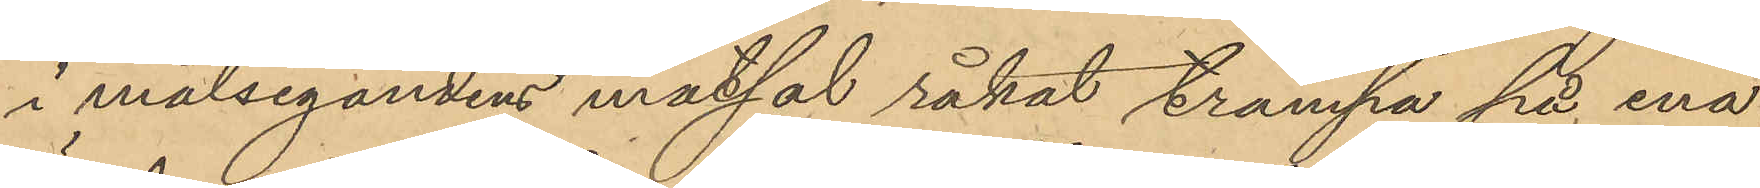i målsegandens matsal råkat trampa på ena
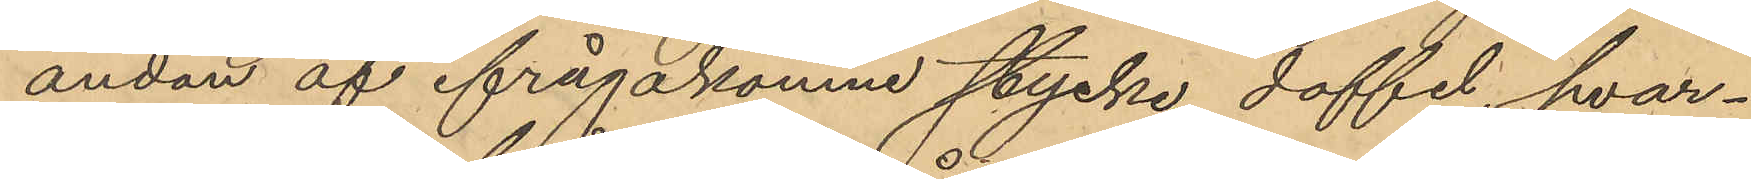ändan af ifrågakomne stycke doffel, hvar¬
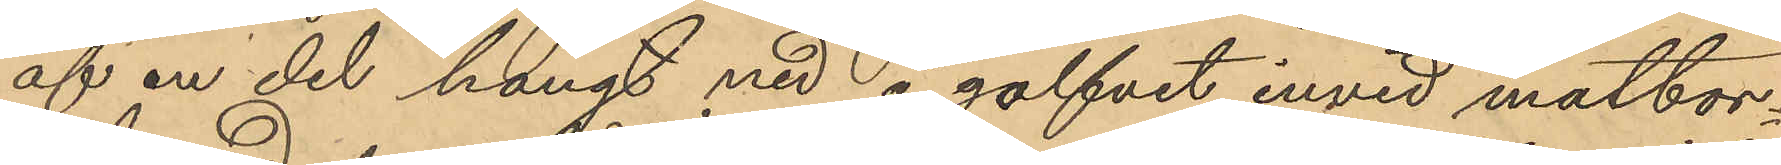af en del hängt ned å golfvet invid matbor¬
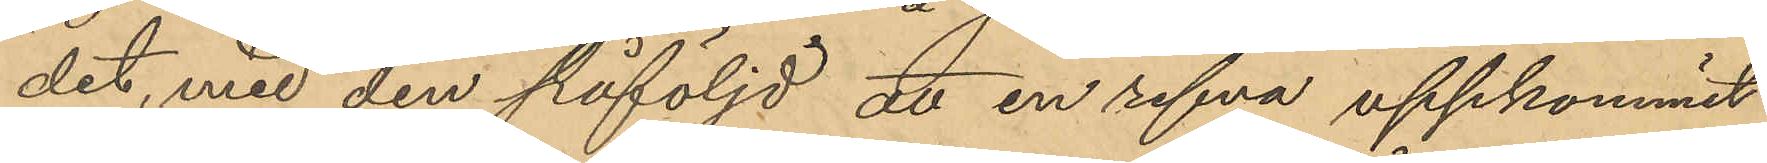det, med den påföljd att en refva uppkommit
